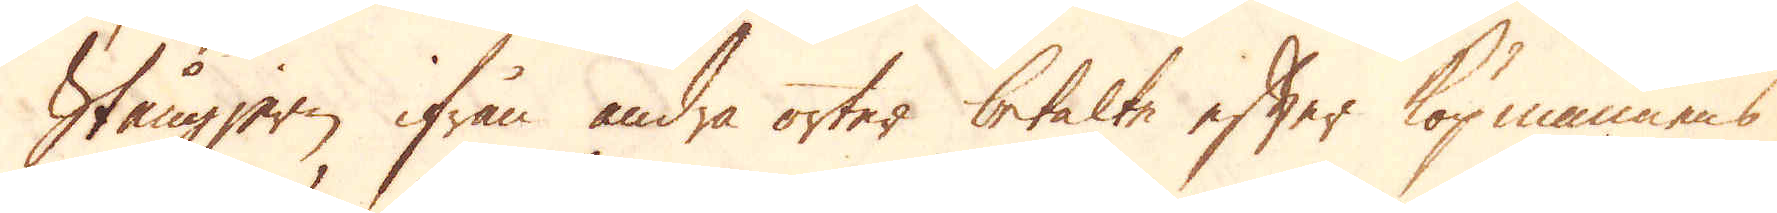Stångjern ifrån andra orter betalte efter köpmannens
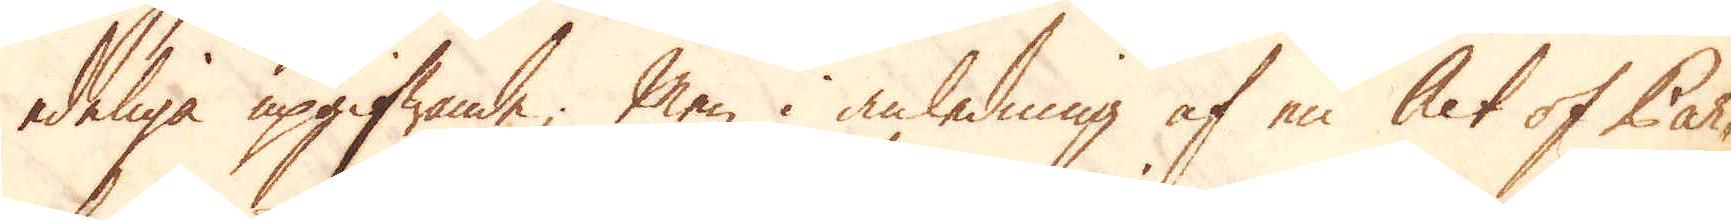edeliga upgifwande; Men i anledning af en Act of Par-
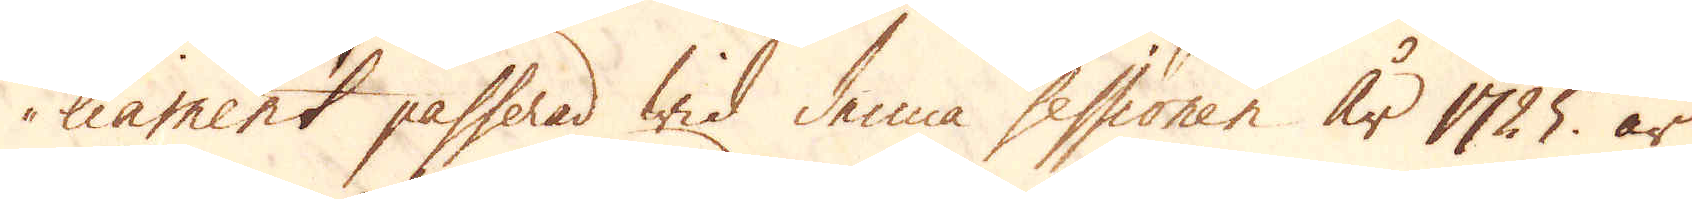liament passerad wid denna sessionen år 1725 är
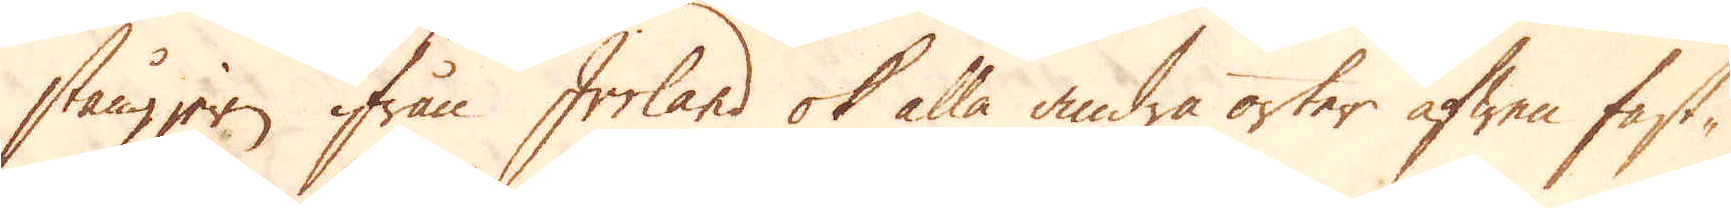stångjern ifrån Irrland ok alla andra orter äfwen fast-
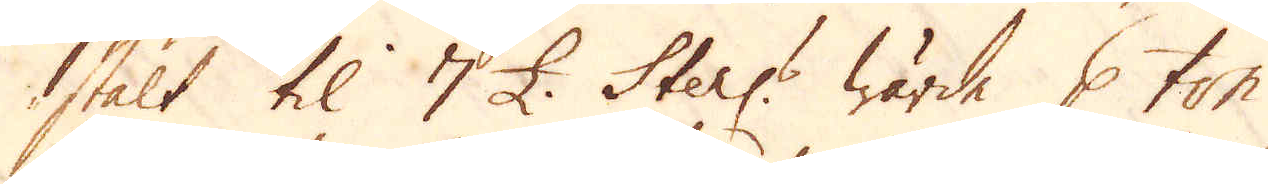stält til 7 £. Sterl:s wärde p ton.
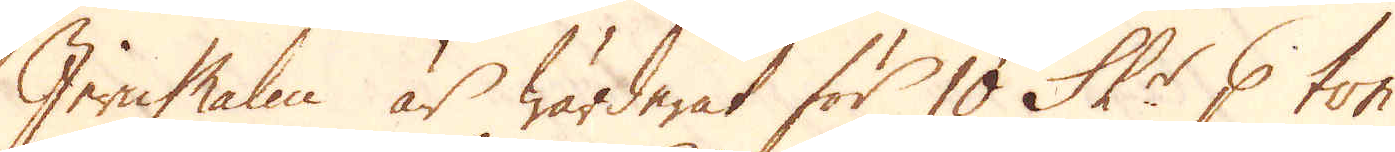Jern Malm är wärderat för 10 Sk:r p ton.
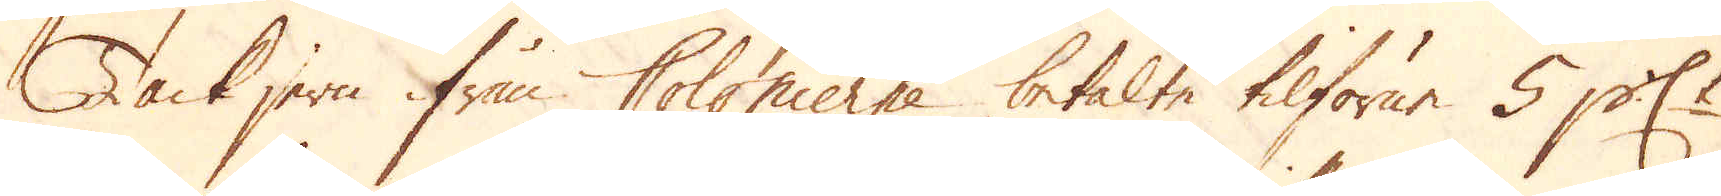Tackjern ifrån Colonierne betalte tilförne 5 p:ct
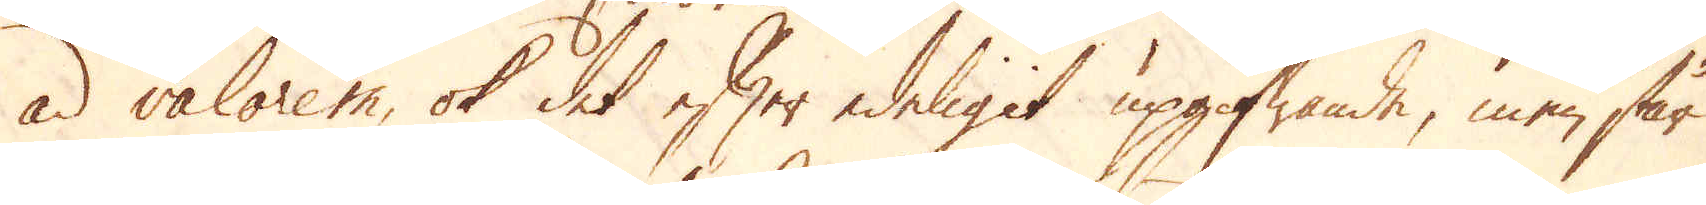ad valorem, ok det efter edeligit upgifwande, men står
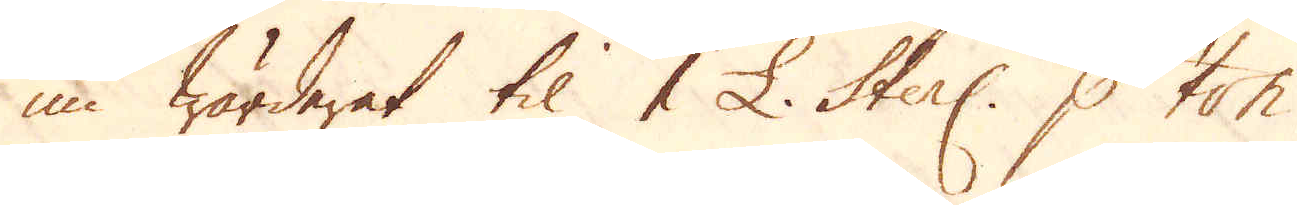nu wärdaret til 1 £. Sterl: p ton.
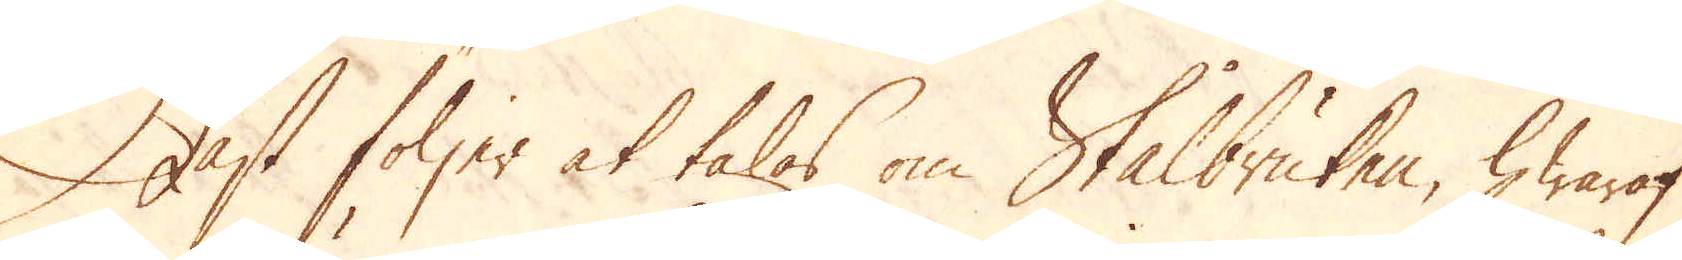Näst följer at talas om Stålbruken, hwaraf
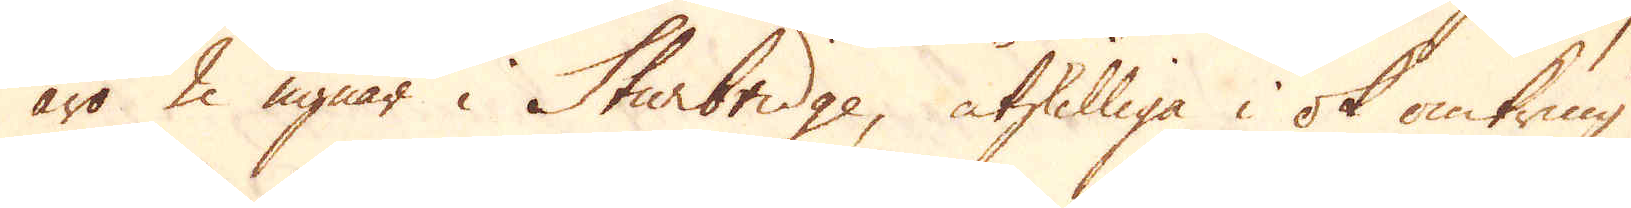äro 2 ugnar i Sturbridge, åtskilliga i ok omkring
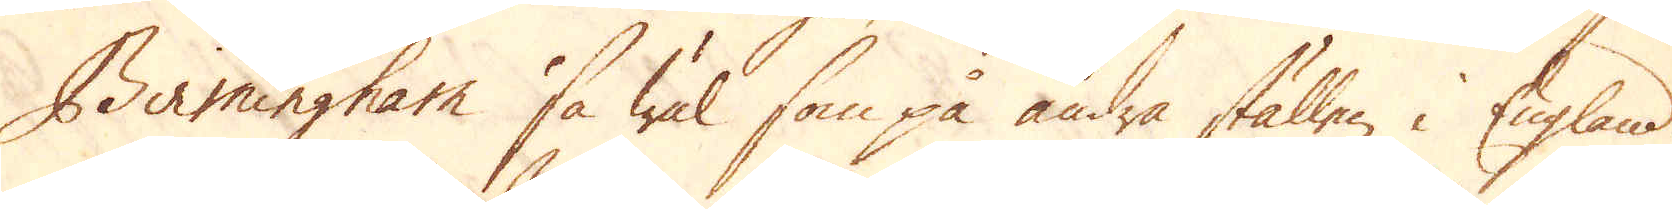Birmingham så wäl som på andra ställen i England.
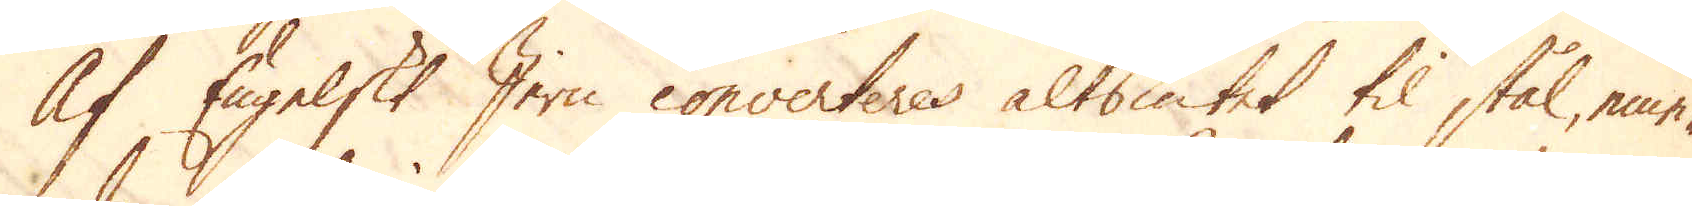Af Engelskt Jern converteres altsintet til stål, eme-
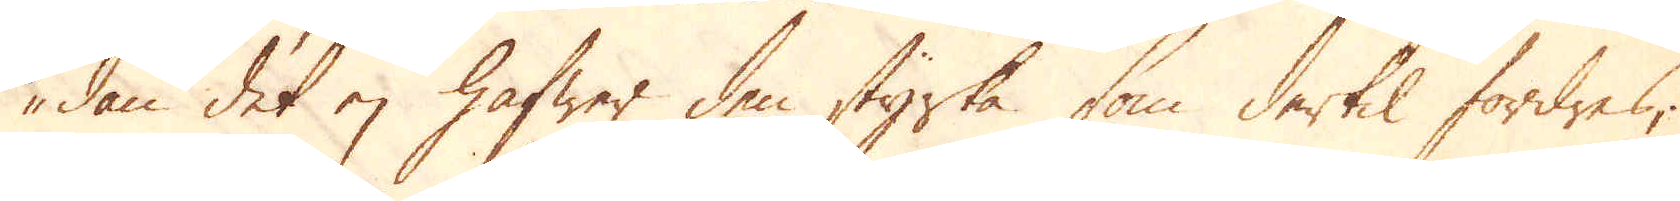dan det ej hafwer den styrka som dertil fordres;
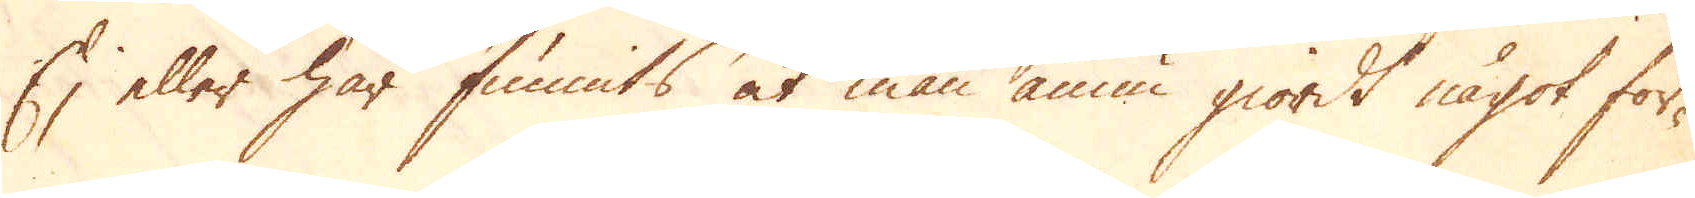Ej eller har funnits at man ännu giordt något för-
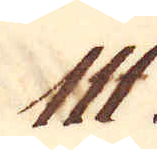111.
